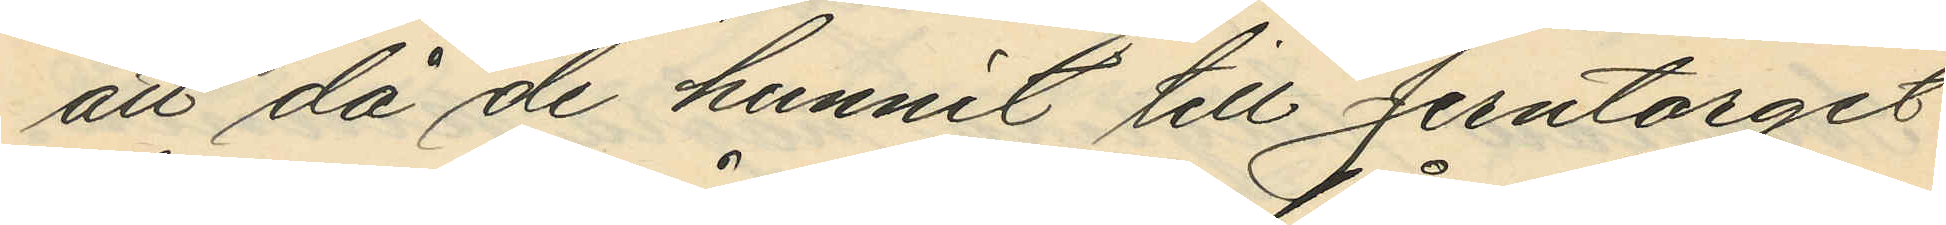att då de hunnit till Jerntorget
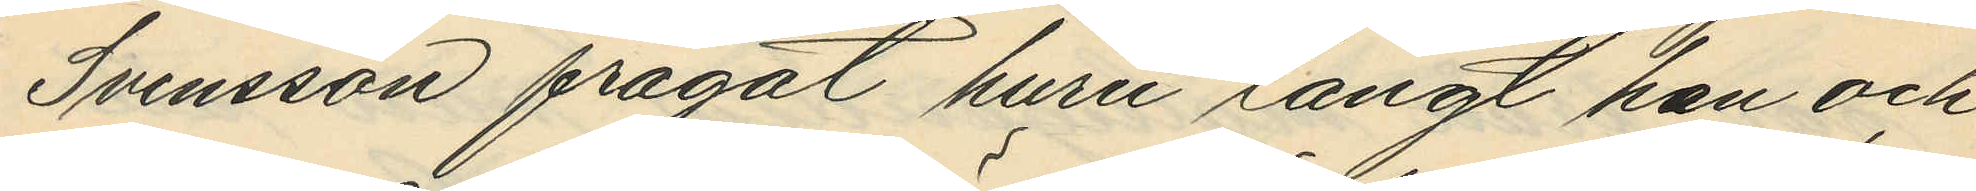Svensson frågat huru långt han och
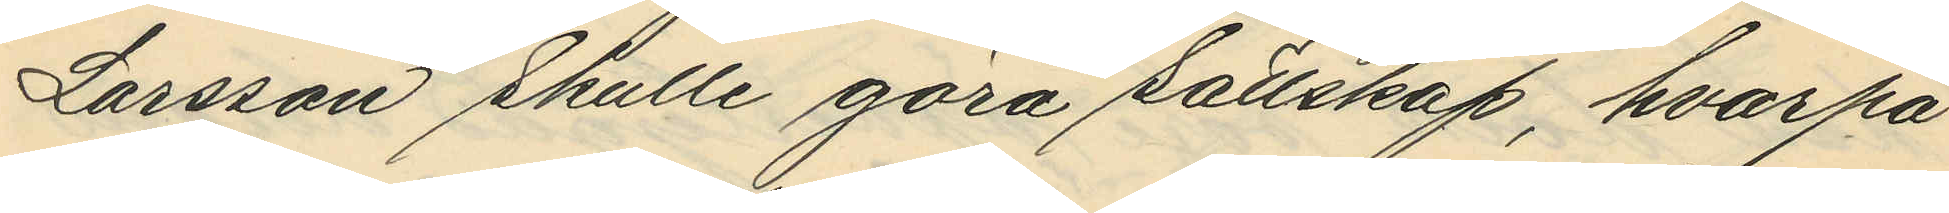Larsson skulle göra sällskap, hvarpå
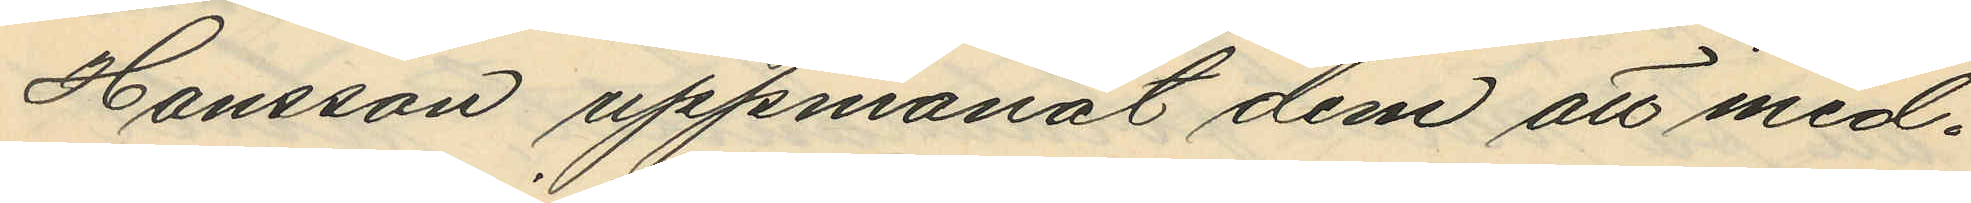Hansson uppmanat dem att med¬
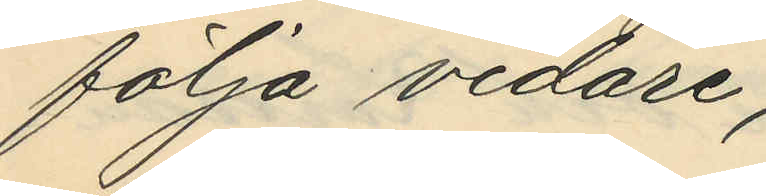följa vidare;
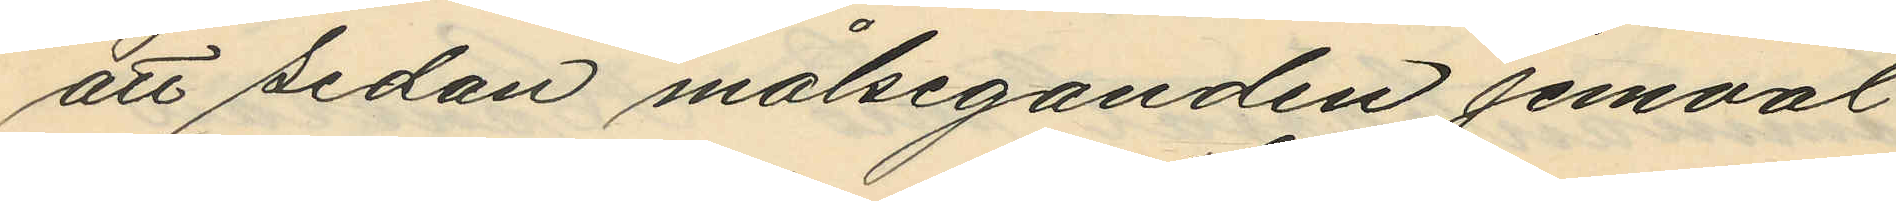att sedan målseganden jemväl
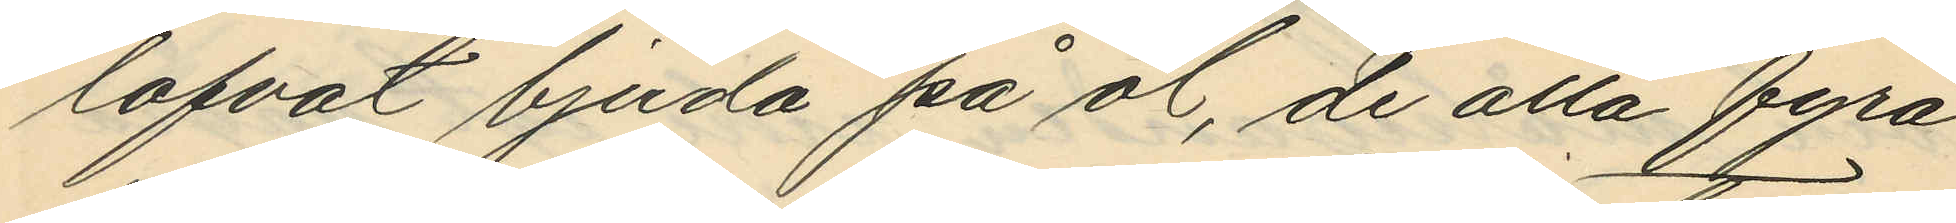lofvat bjuda på öl, de alla fyra
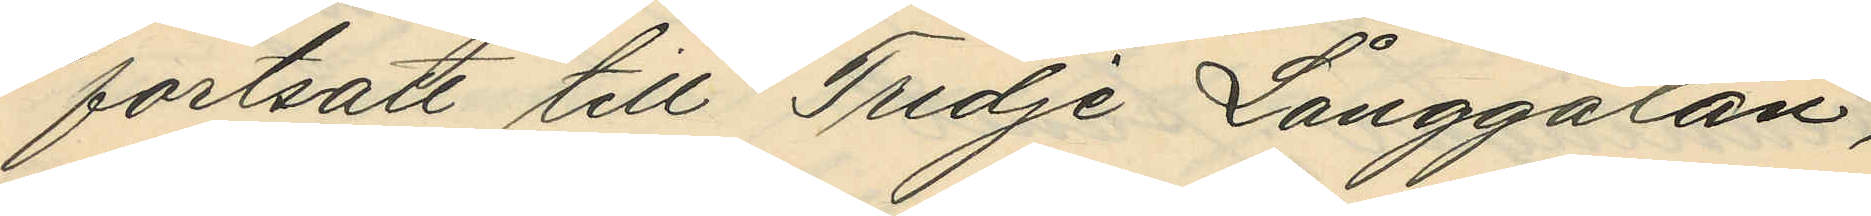fortsatt till Tredje Långgatan,
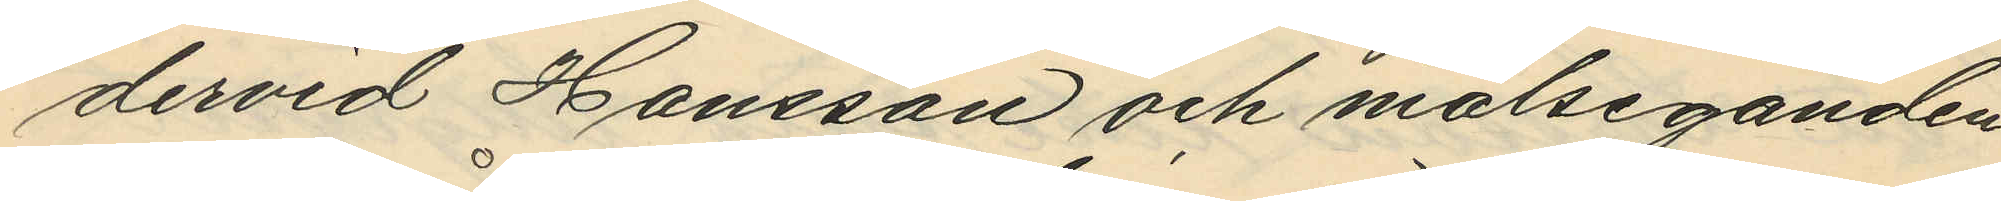dervid Hansson och målseganden
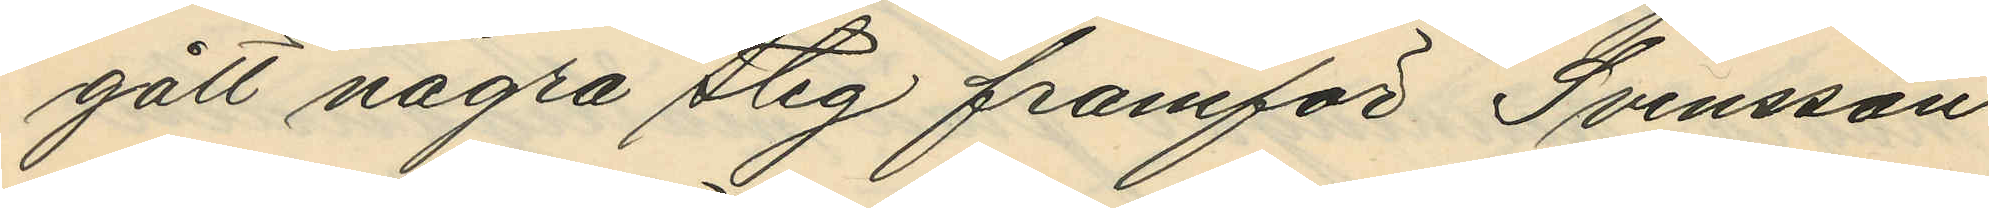gått några steg framför Svensson
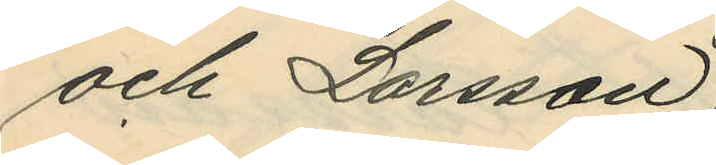och Larsson;
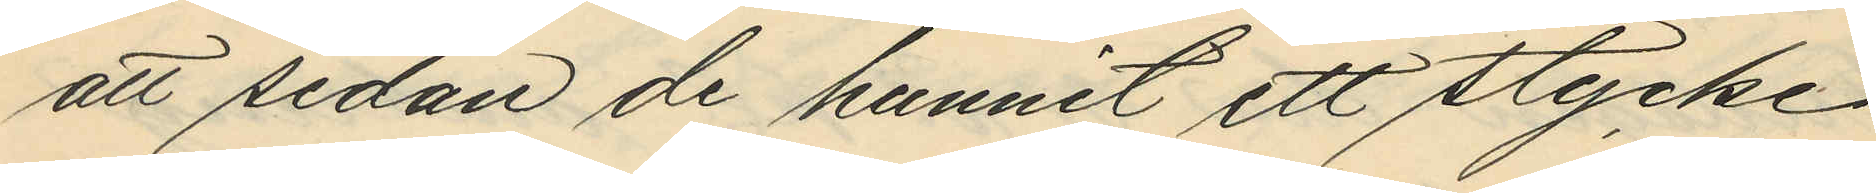att sedan de hunnit ett stycke
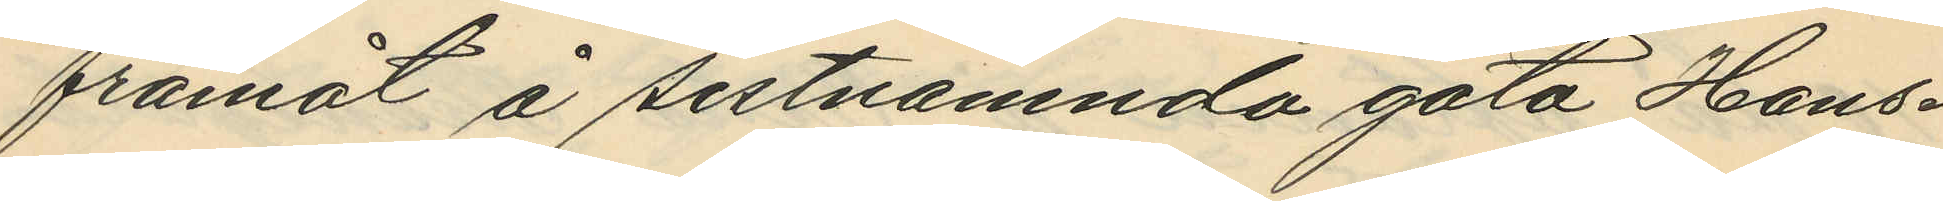framåt å sistnämnda gata Hans¬
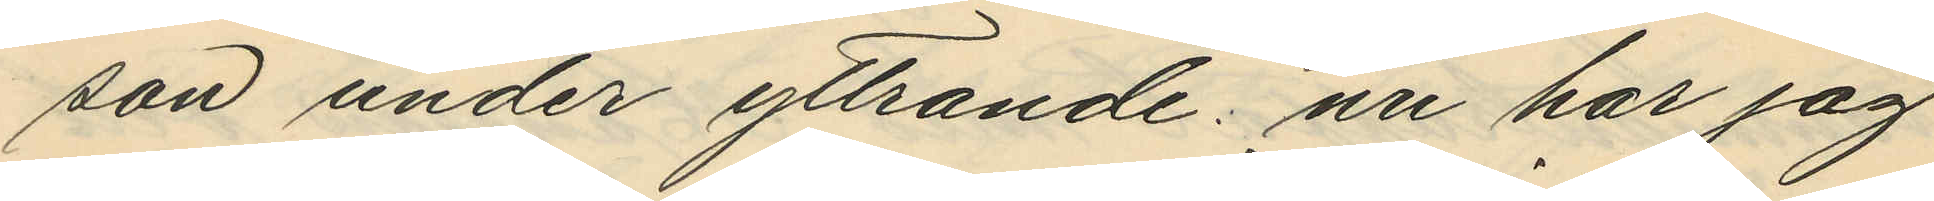son under yttrande: nu har jag
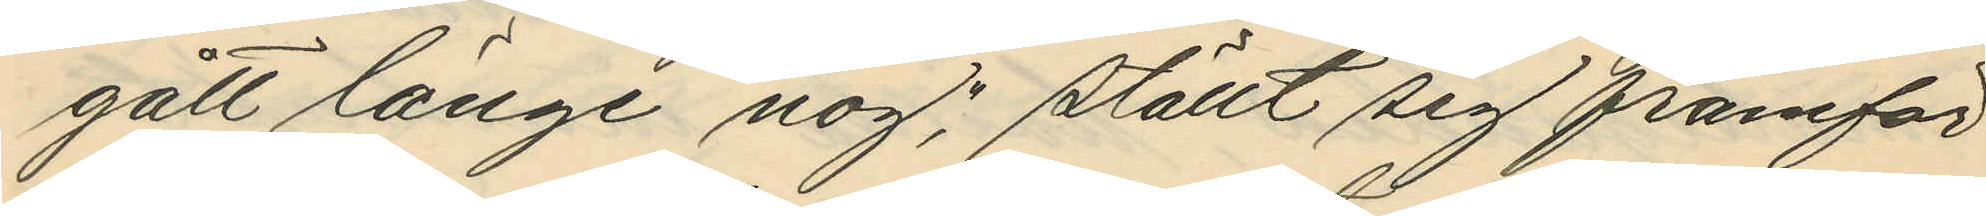gått länge nog", ställt sig framför
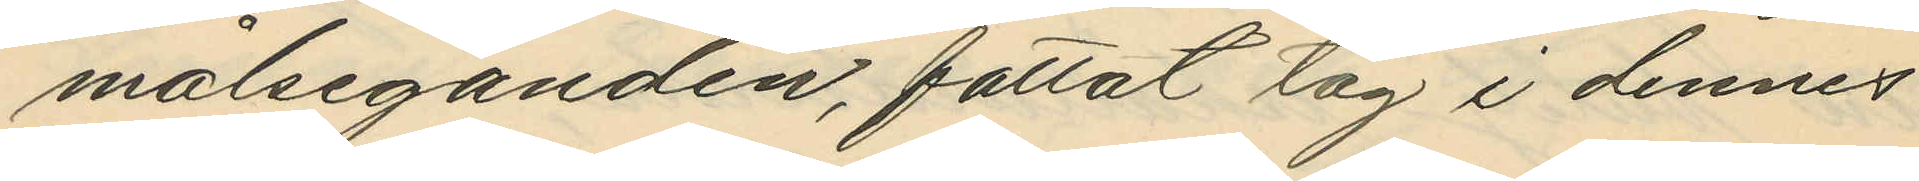målseganden, fattat dag i dennes
